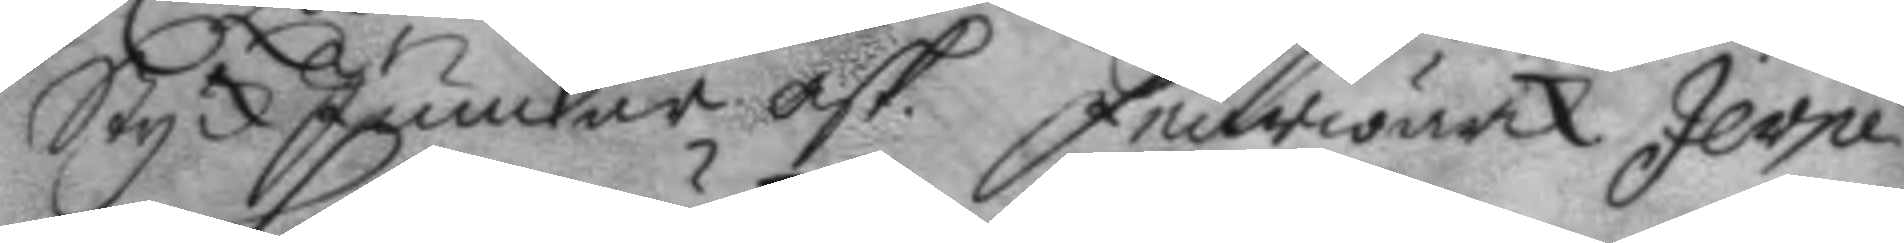StyckJunckar. ask. Feurwärck Jerpe
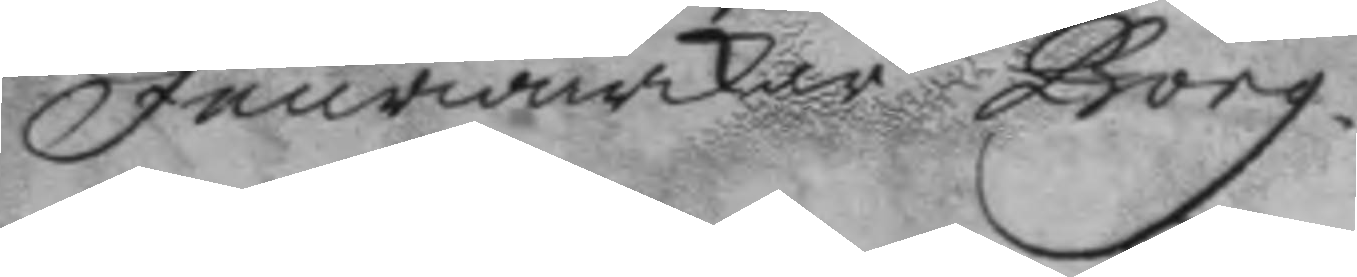Feurwärckar Borg.
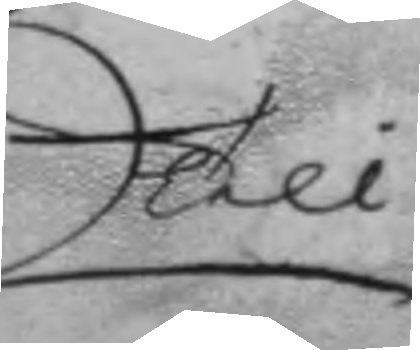Till
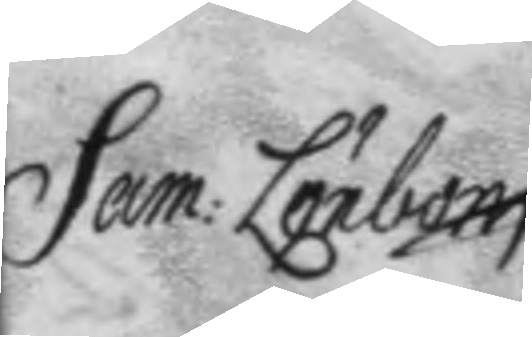Sam: Lönbom
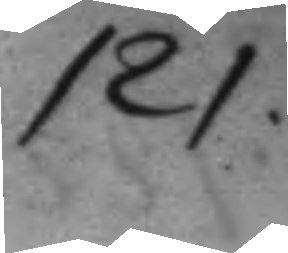121.
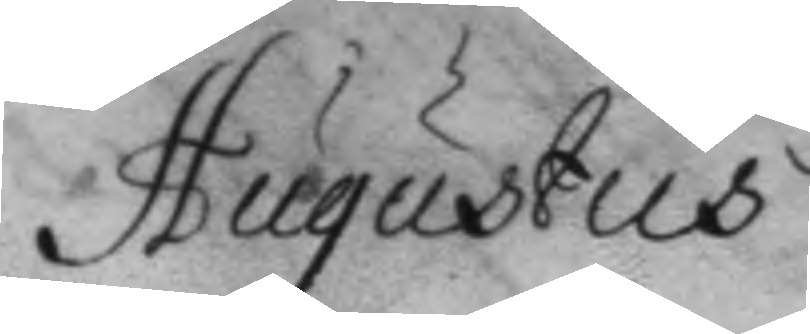Augustus
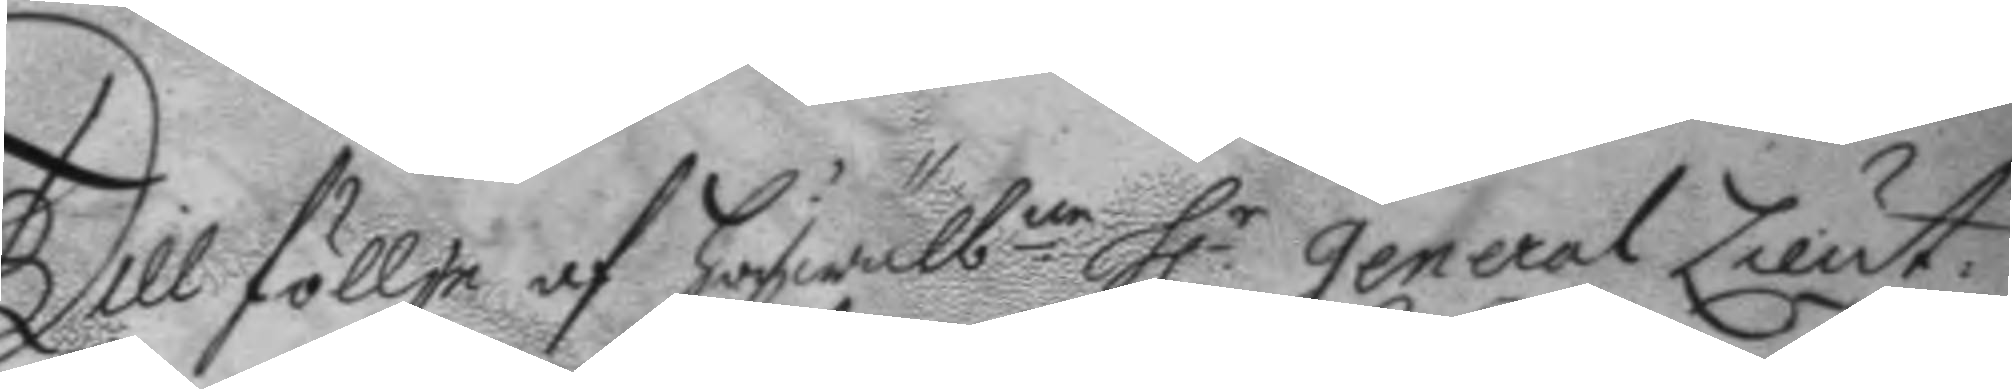Till föllje af högwäl.ne h.r general Lieut.
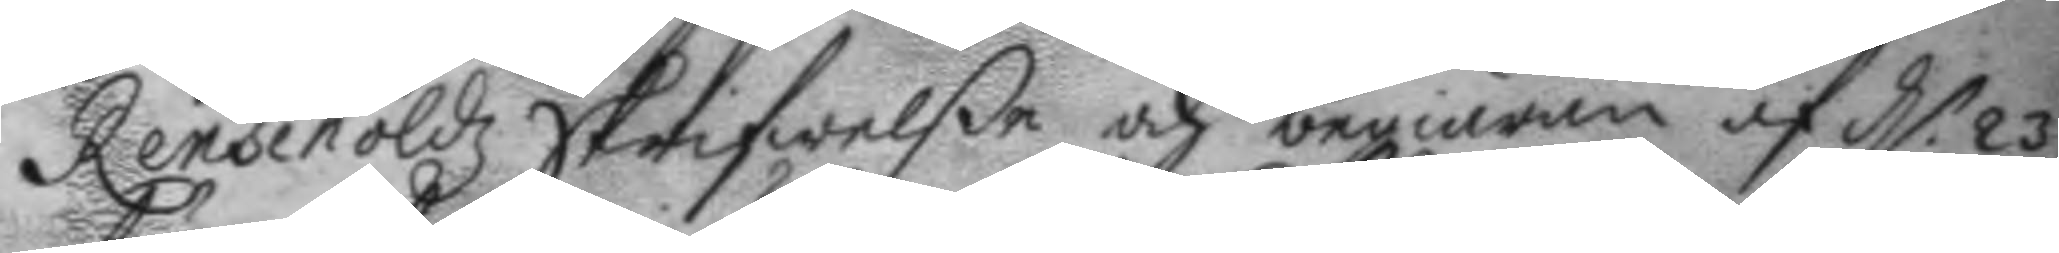Rensehöldz Skrifwelße och begiäran af d.n 23
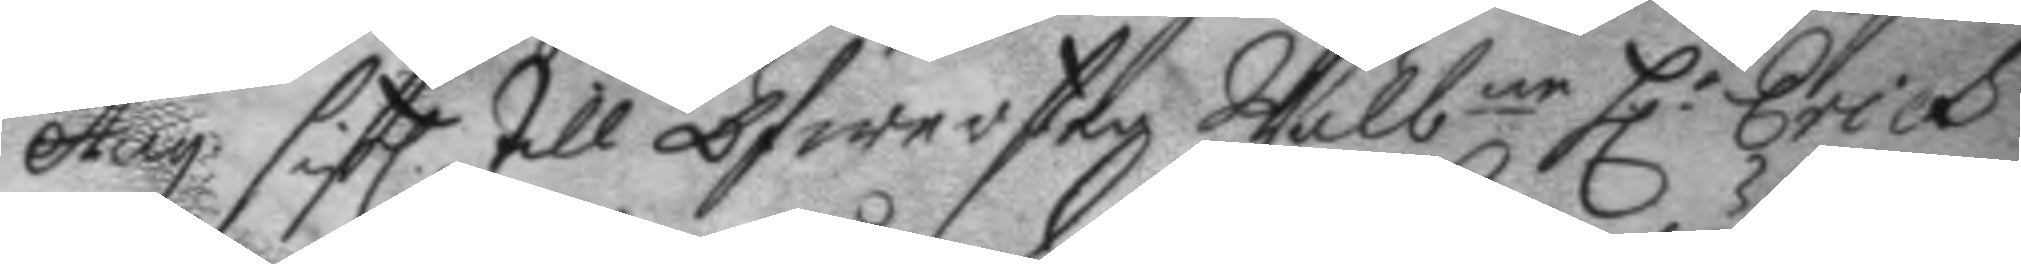Aug. sistl. till Öfwersten Wälb.ne h.r Erich
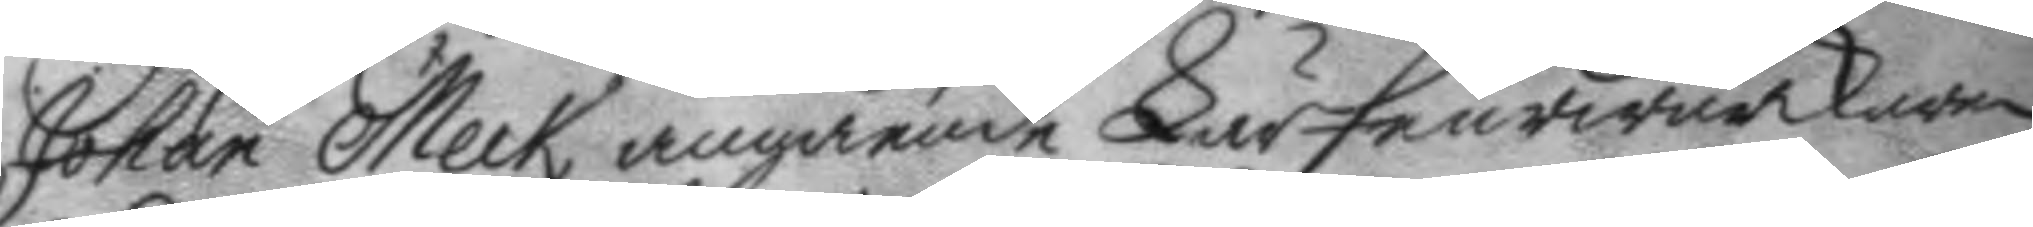Johan Meck, angående Lär Feurwärckaren
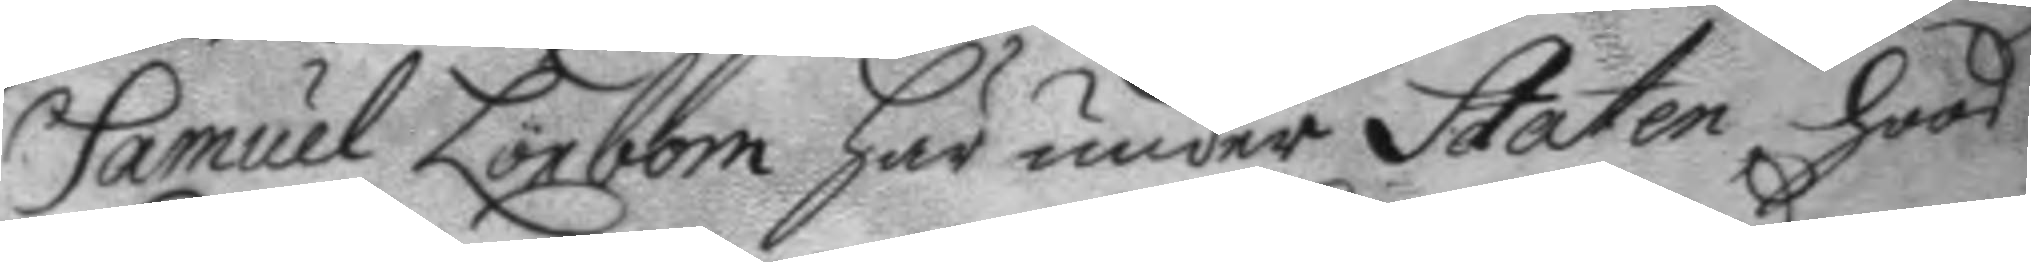Samuel Lönbom här under Staten hoos
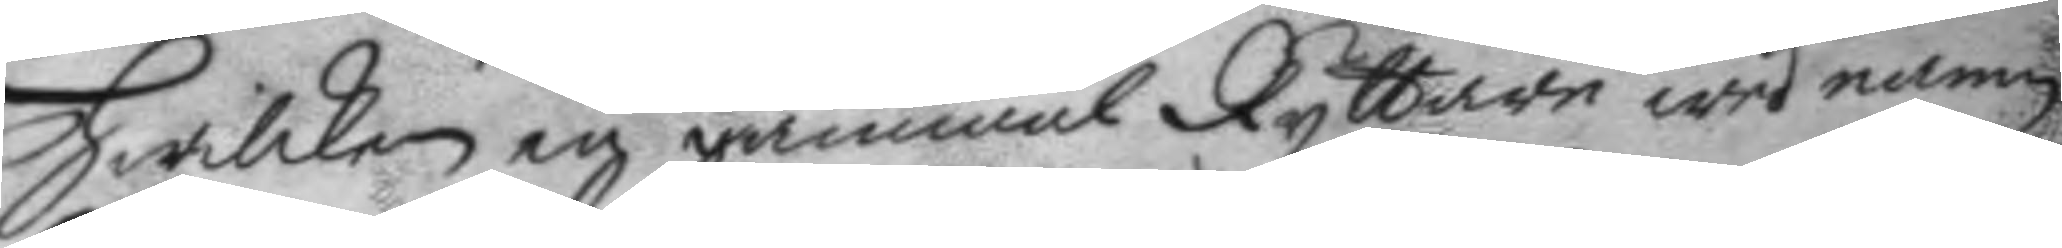hwilken en gammal Ryttare wed namn
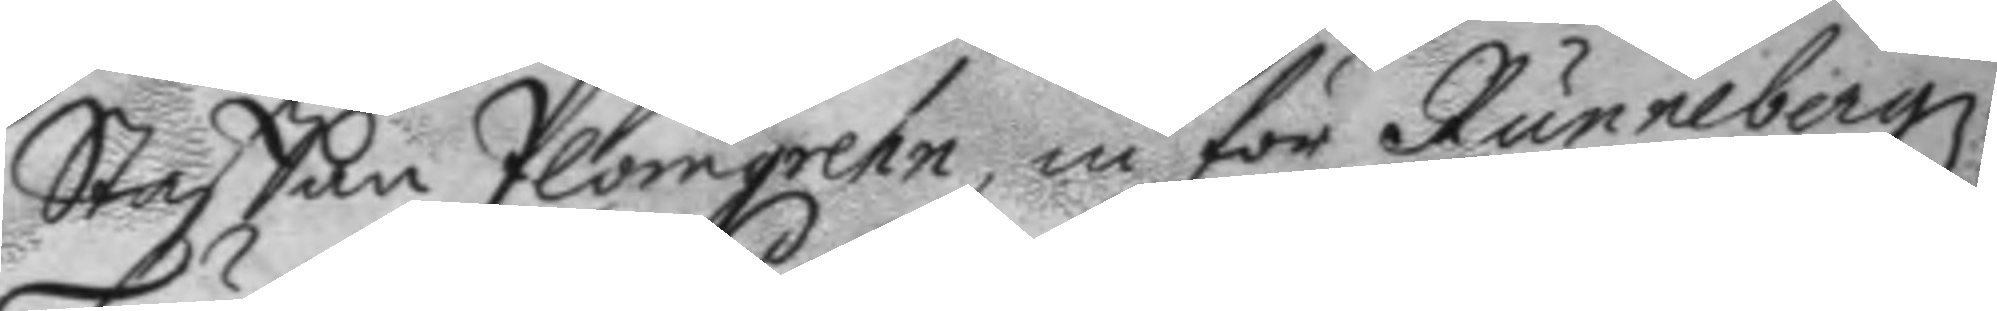Staffan Plomgreen, in för Runnebergz
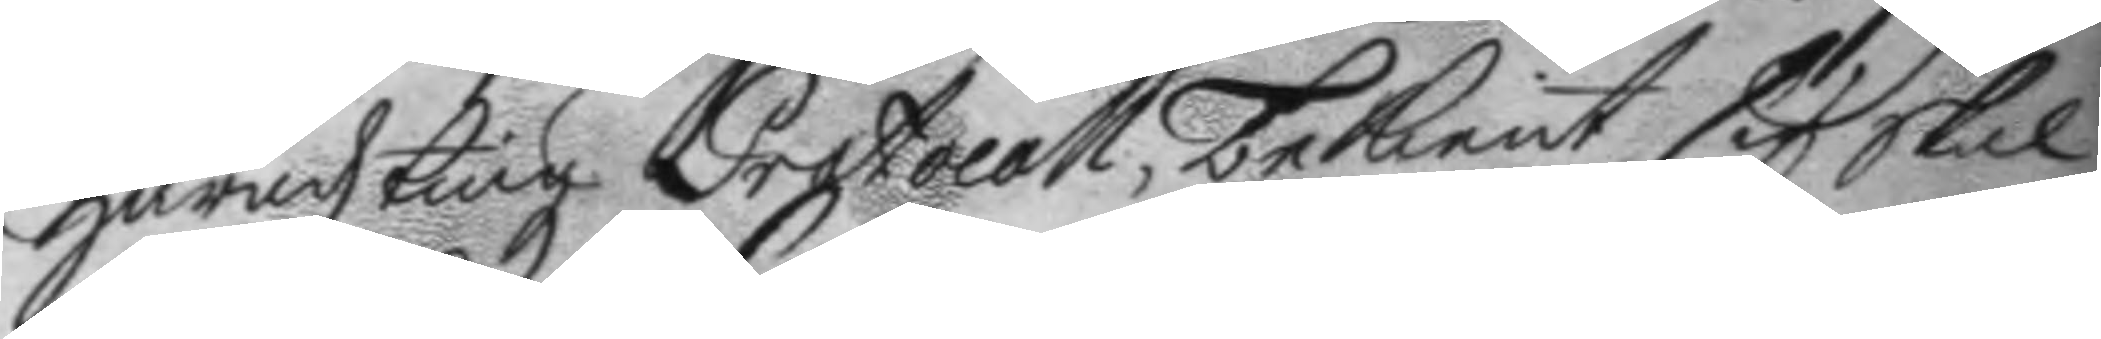häradztingz Protocoll, bekient sig skal
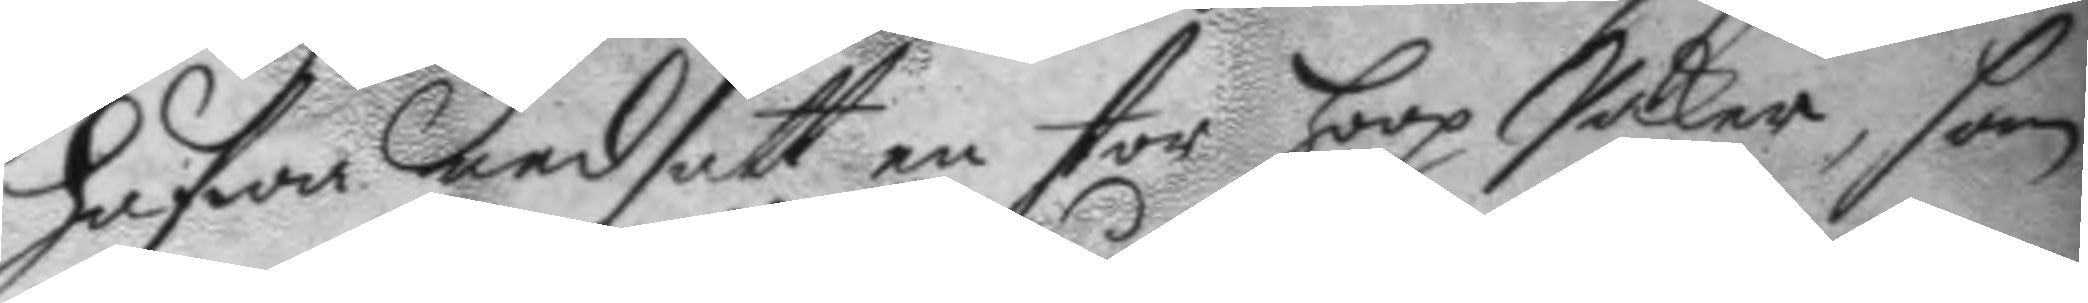hafwa nedsatt en stor hoop Saker, som
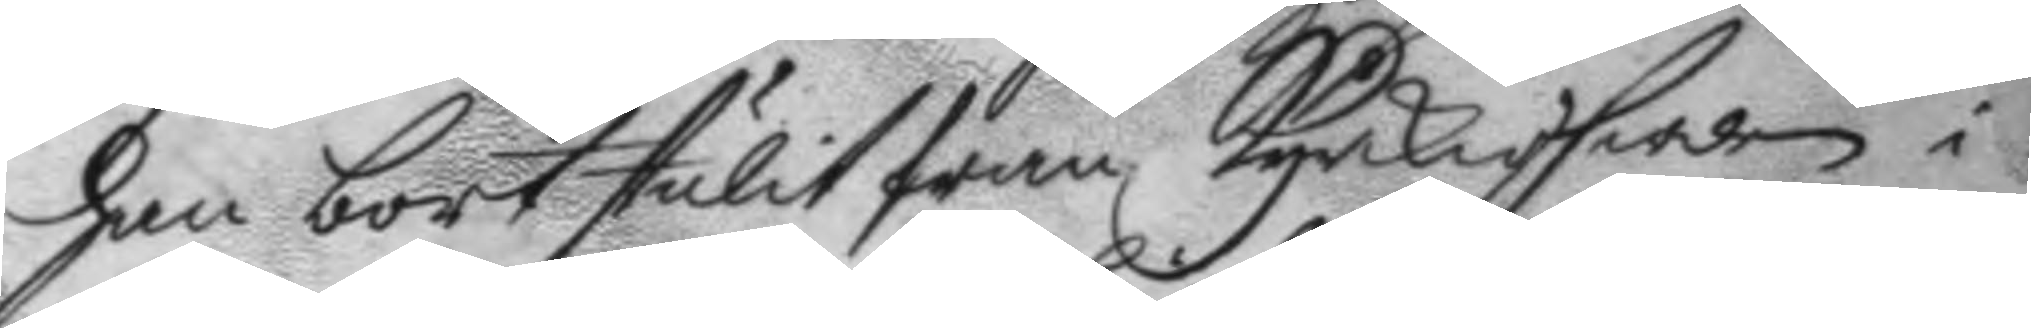han bortstulit från kyrkioherden i
